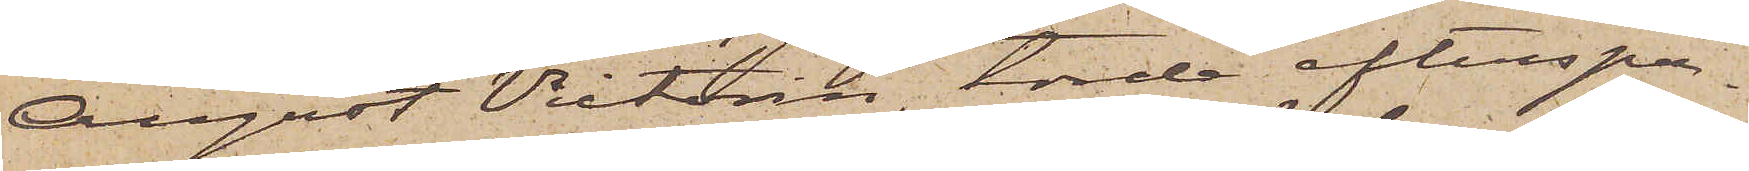August Victorin, torde efterspa¬
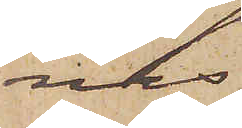nas
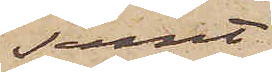samt,
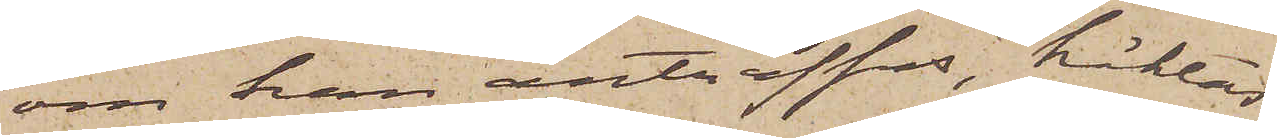om han anträffas, häktas
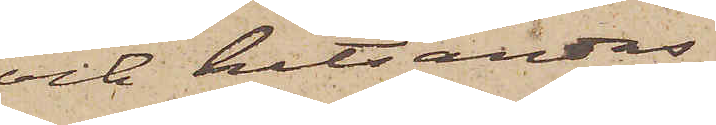och hitsändas
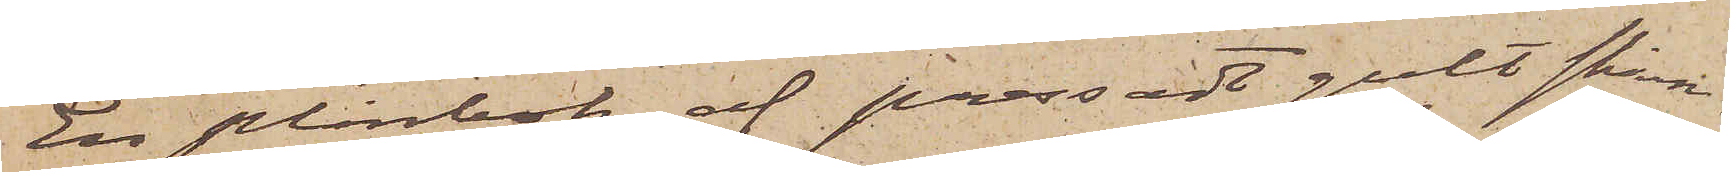En plånbok af pressadt gult skinn.
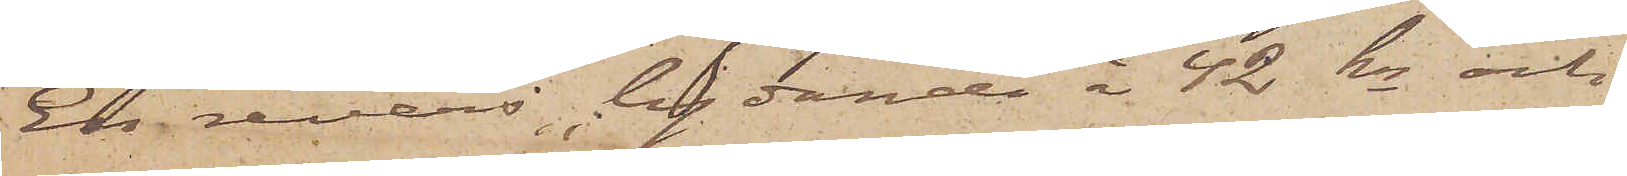En revers, lydande å 42 kr och
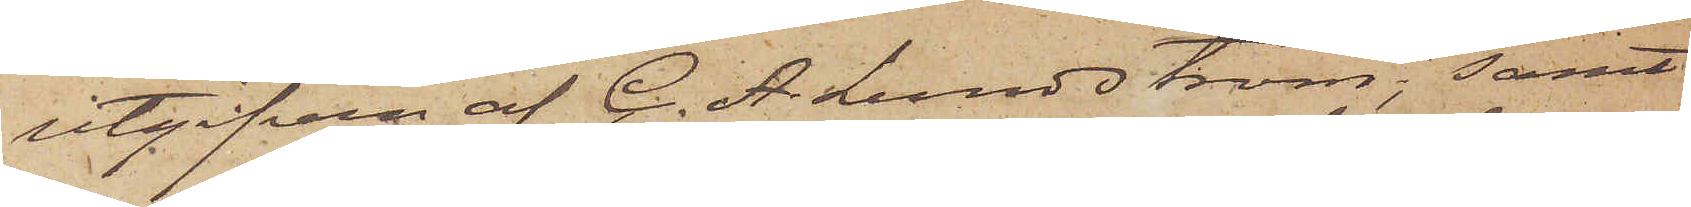utgifven af C. A Lundström, samt
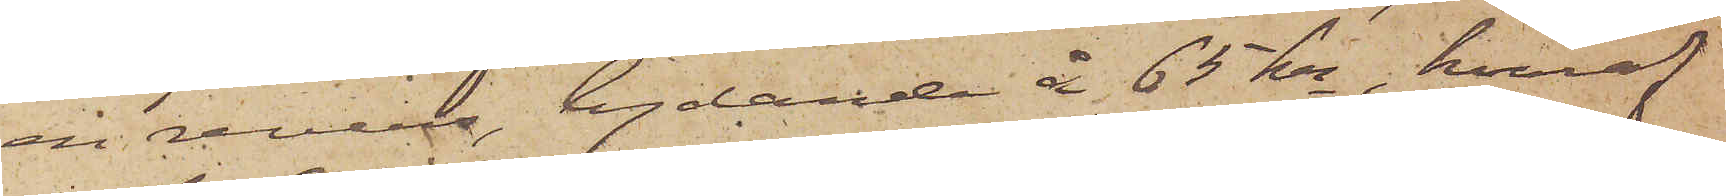en revers, lydande å 65 kr, hvaraf
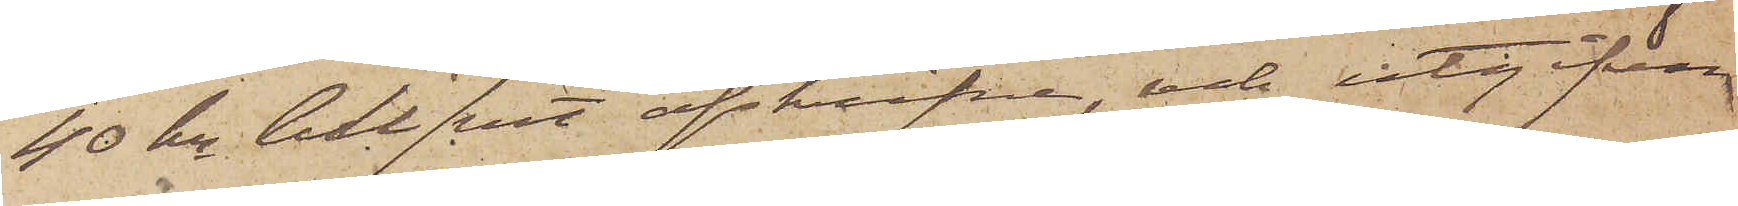40 kr blifvit afskrifne, och utgifven
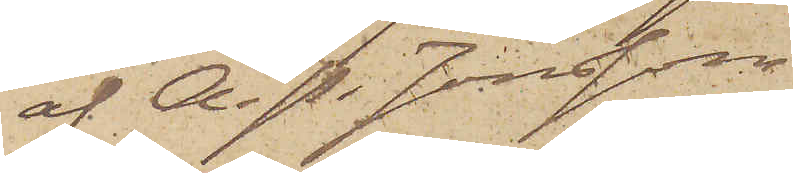af A. P. Jonsson.
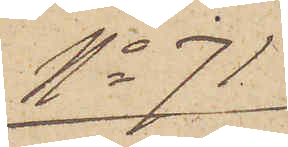No 71
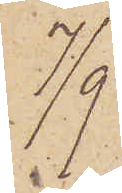7/9
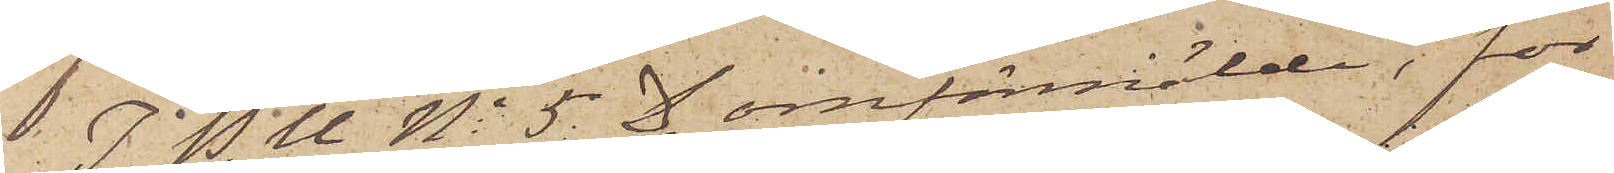I. P. U No 5. D omförmälde, för
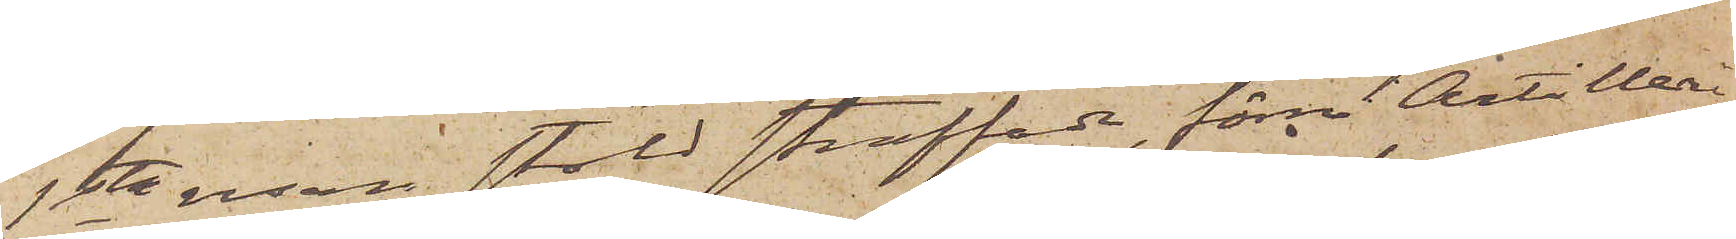1sta resan stöld straffade, förre Artilleri¬
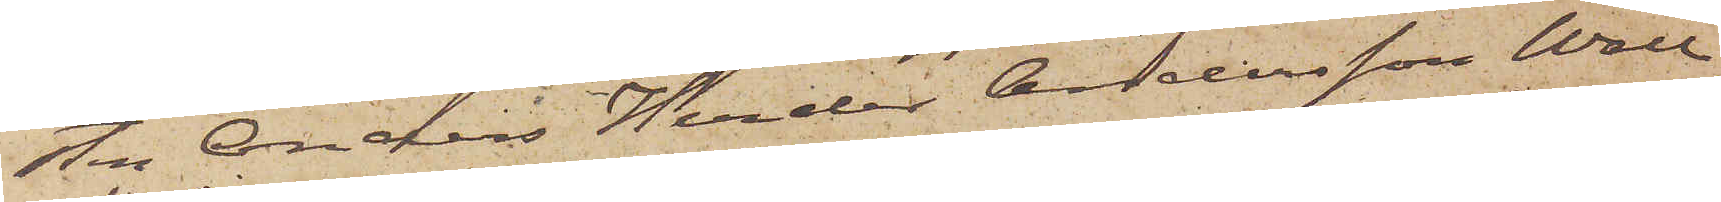sten Anders Herder Andersson Wall
